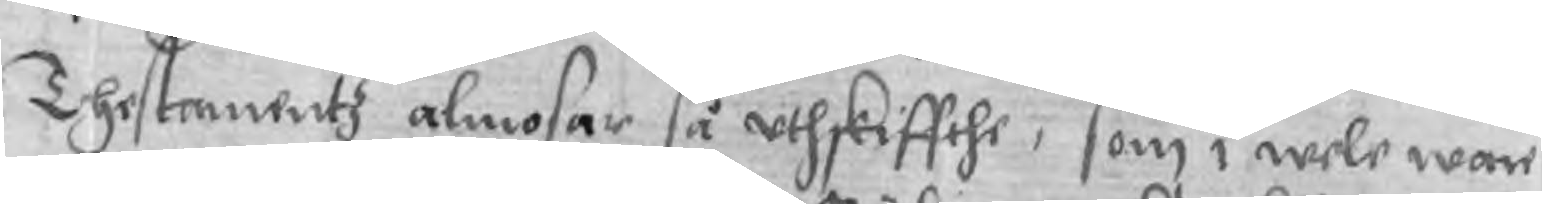Thestamentz almosar så uthskiffthe, som i wele ware
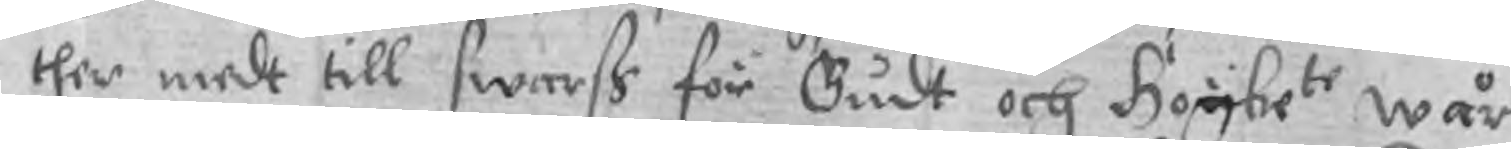ther medt till swarß för Gudt och Högbete wår
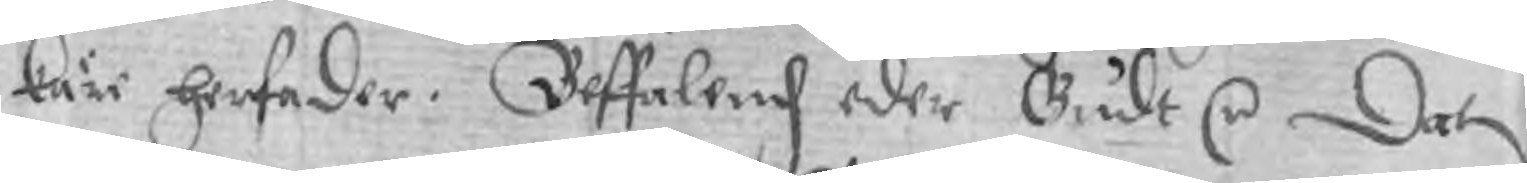käre her fader. Beffalend eder Gudt r Dat
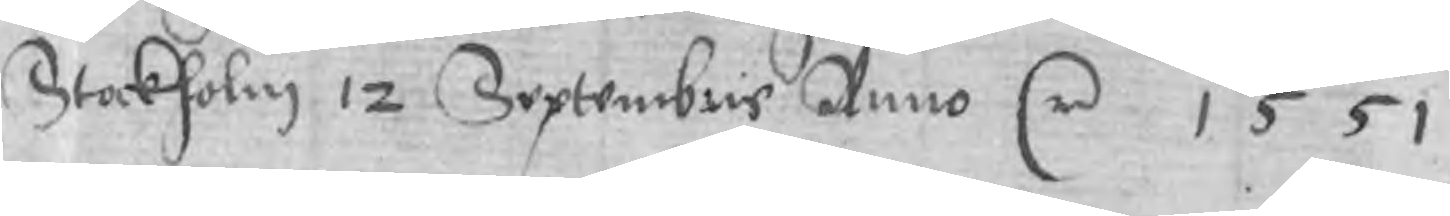Stockholm 12 Septembris Anno r 1551
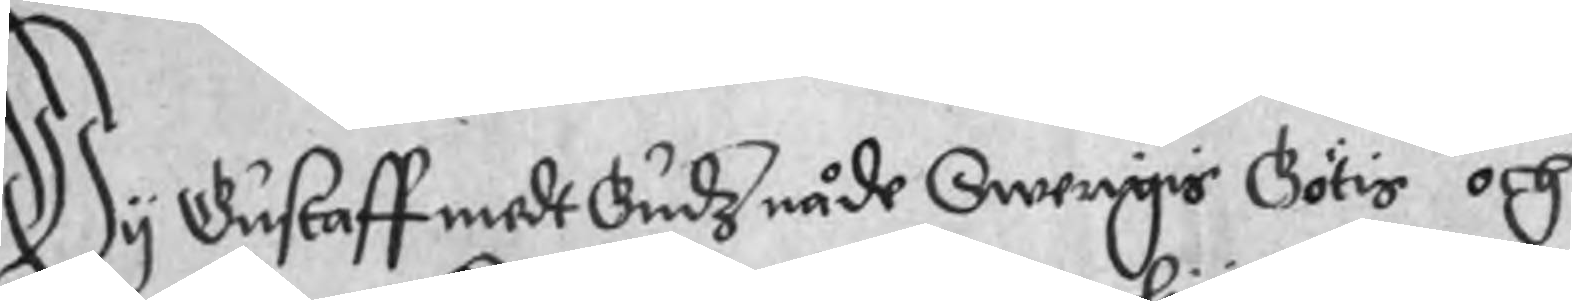Wy Gustaff medt Gudz nåde Swerigis Götis och
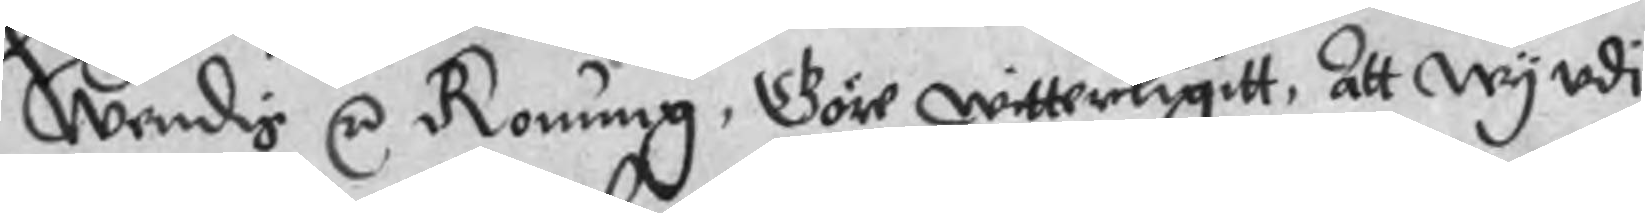Wendis r Konung, Göre witterligitt, att wy udi
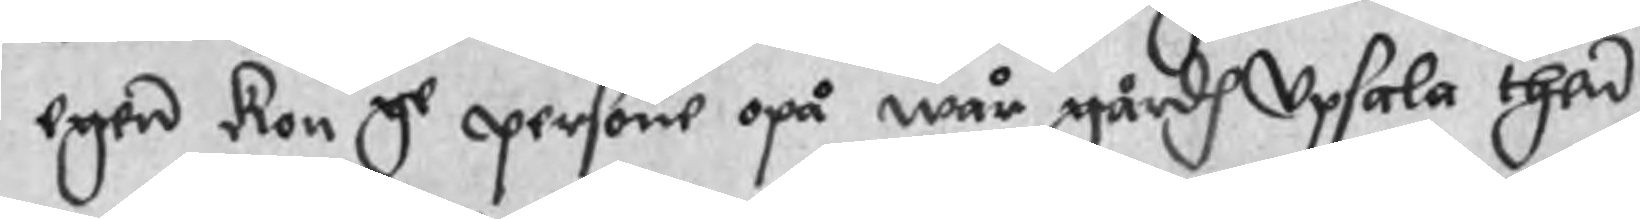egen kon ge persone opå wår gårdh Upsala then
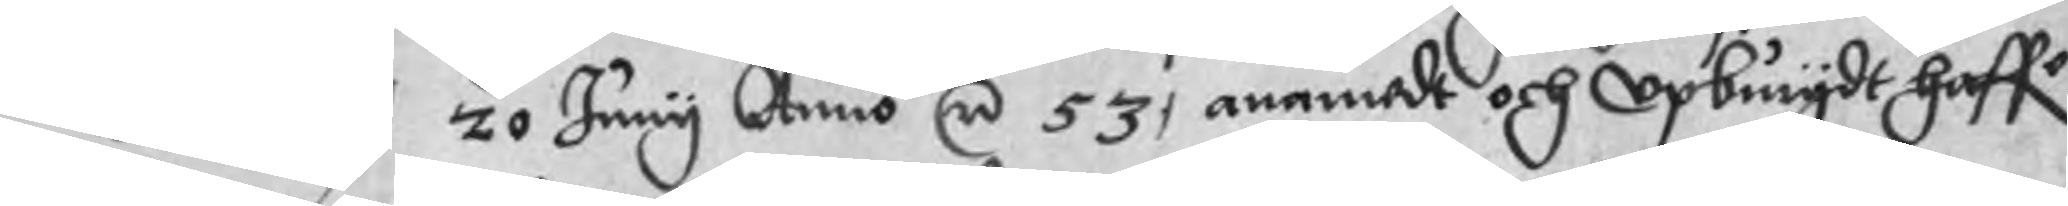20 Juny Anno r 53, anamadt och upbrugdt haffe
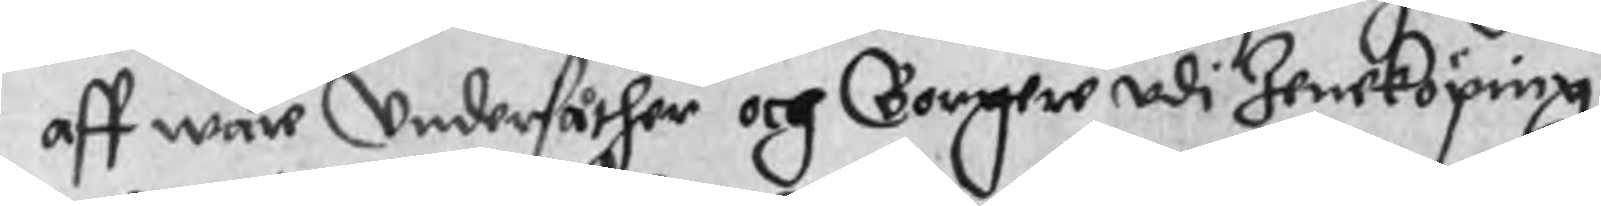aff wåre Undersåther och Borgere udi Jeneköping
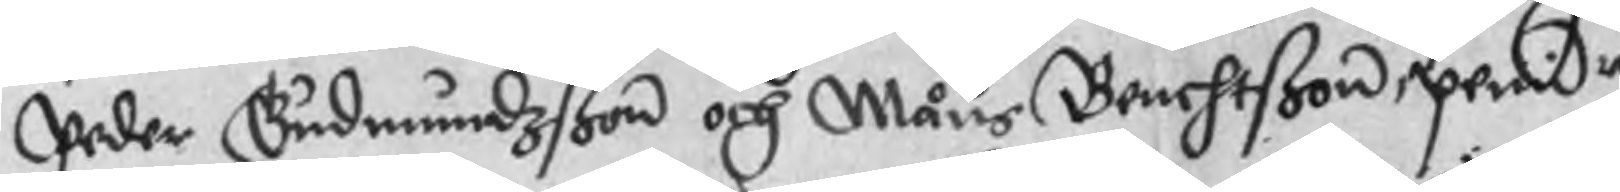Peder Gudmundzßon och Måns Benchtßon, penir
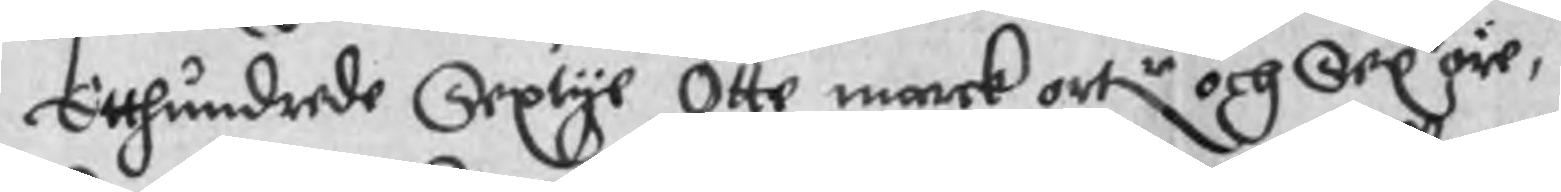Etthundrede Sextye Otte marck ortr och Sex öre,
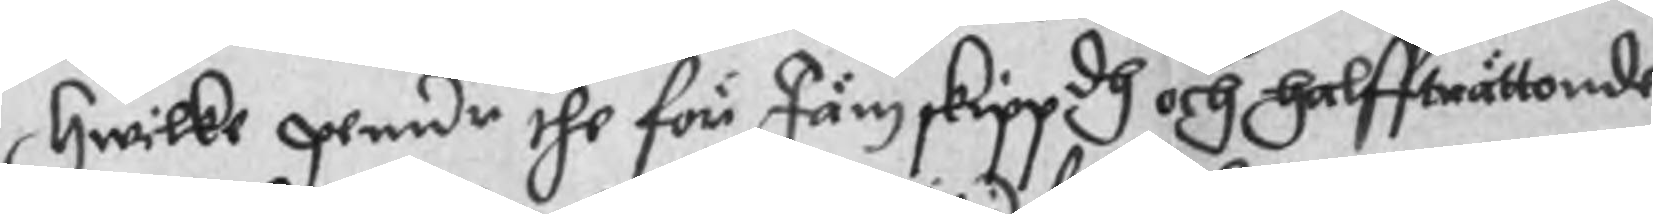Hwilke penir the för Jämskippdh och halffträttonde
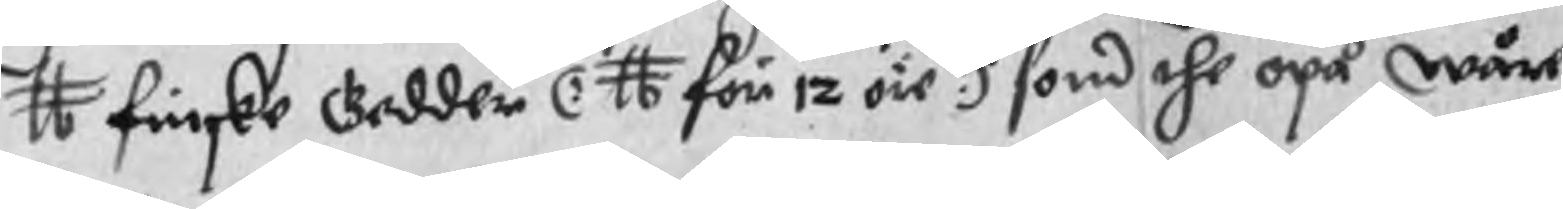tt finske Gedder (: tt för 12 öre:) som the opå wåre
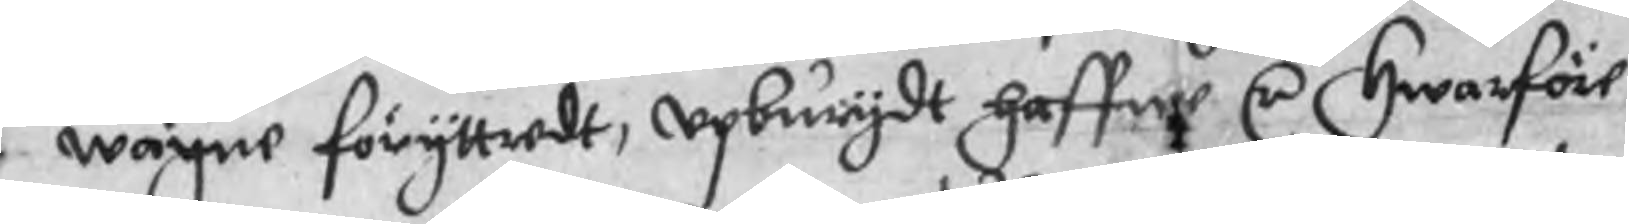wägne föryttradt, upburgdt haffwe r Hwarföre
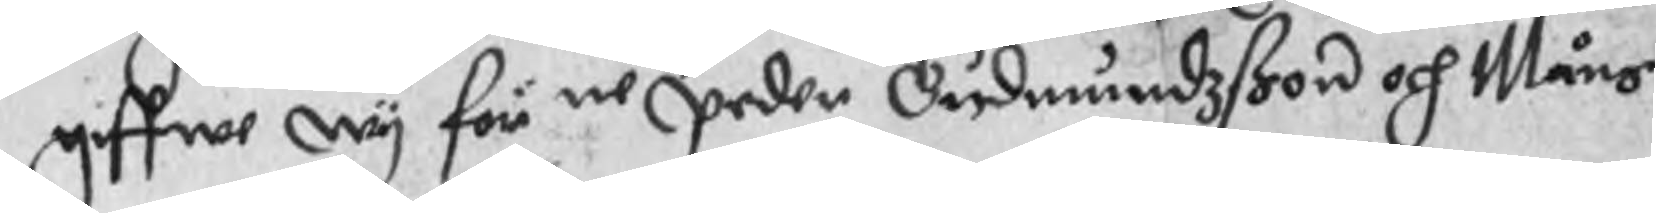giffwe wy för ne Peder Gudmundzßon och Måns
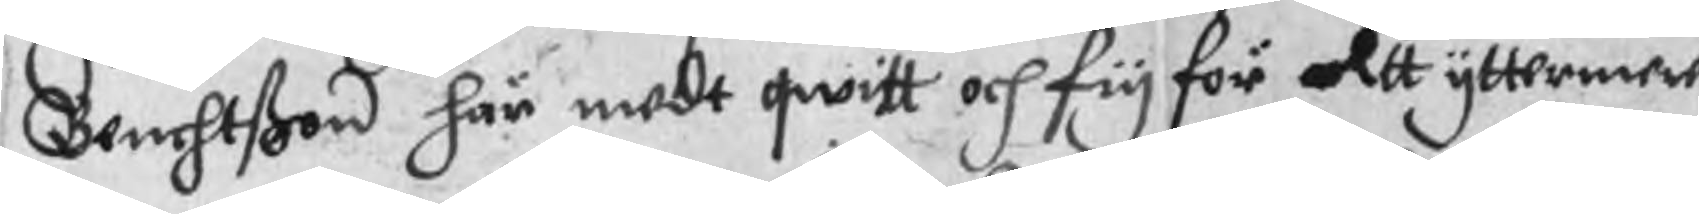Benchtßon här medt qwitt och fry för altt yttermere
